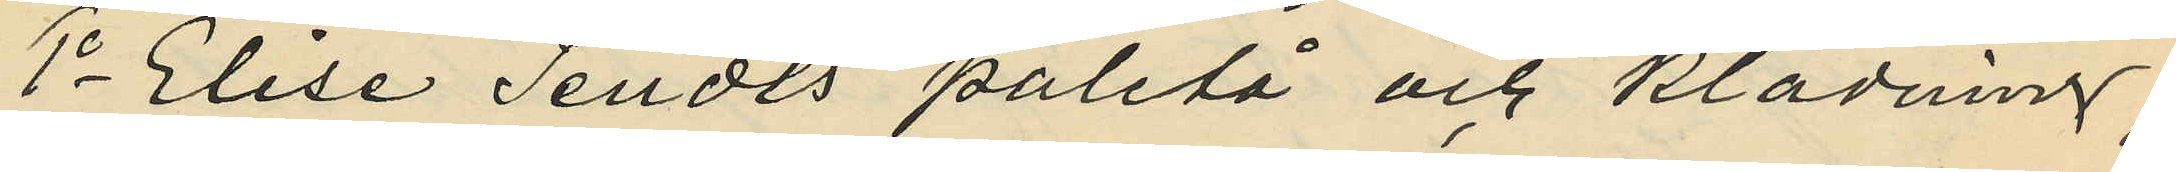1o Elise Tendts paletå och klädning;
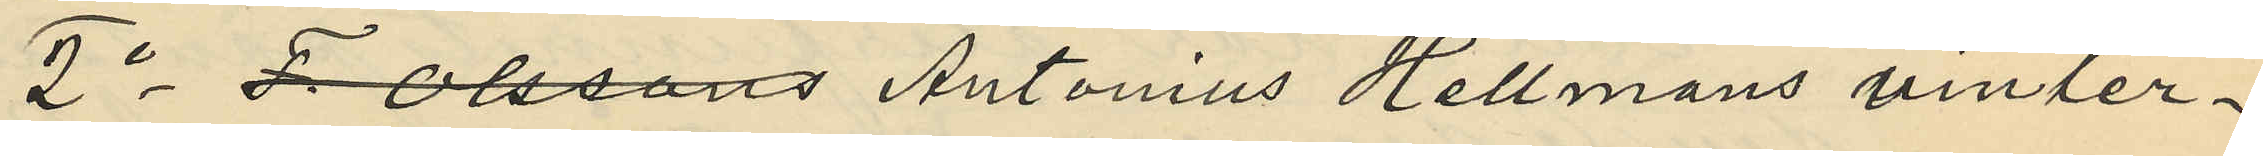2o F Olssons Antonius Hellmans vinter¬
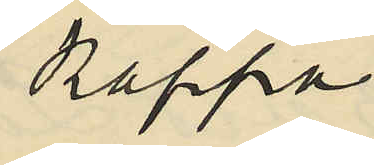kappa;
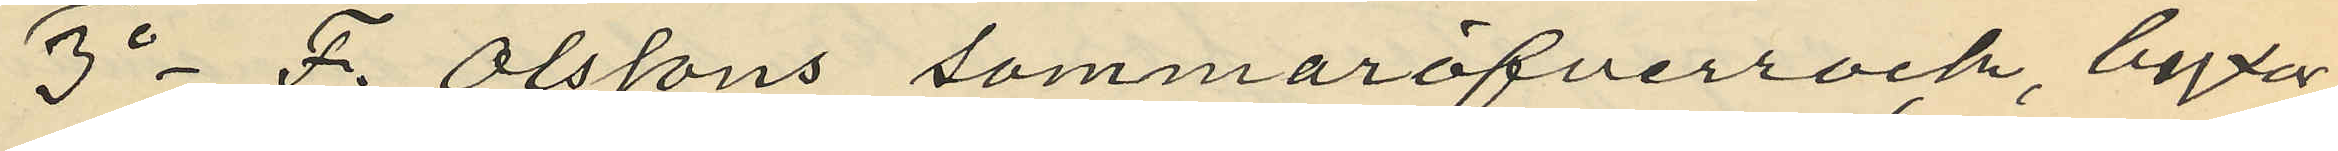3o F. Olssons sommaröfverrock, byxor,
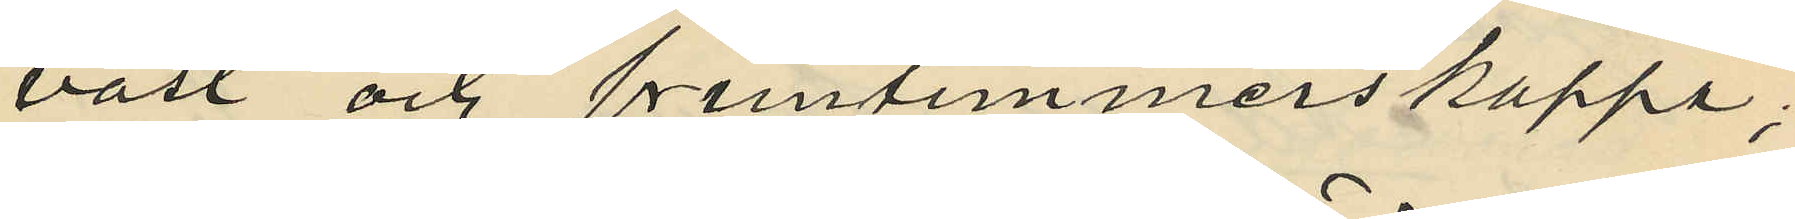väst och fruntimmerskappa;
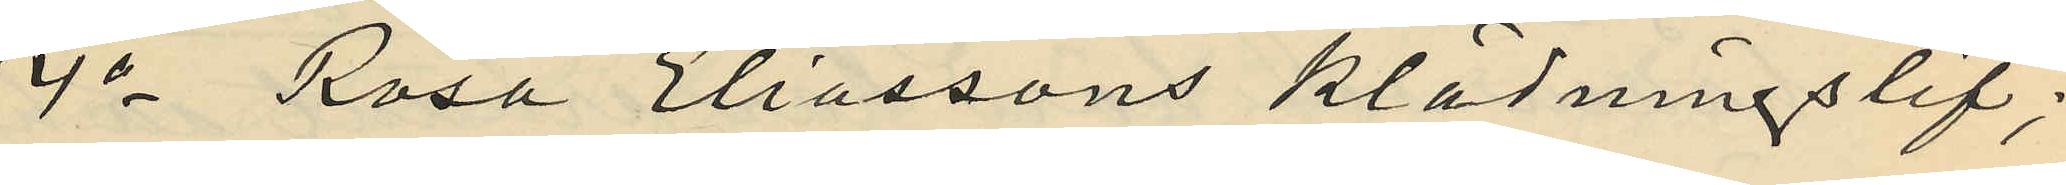4o Rosa Eliassons klädningslif;
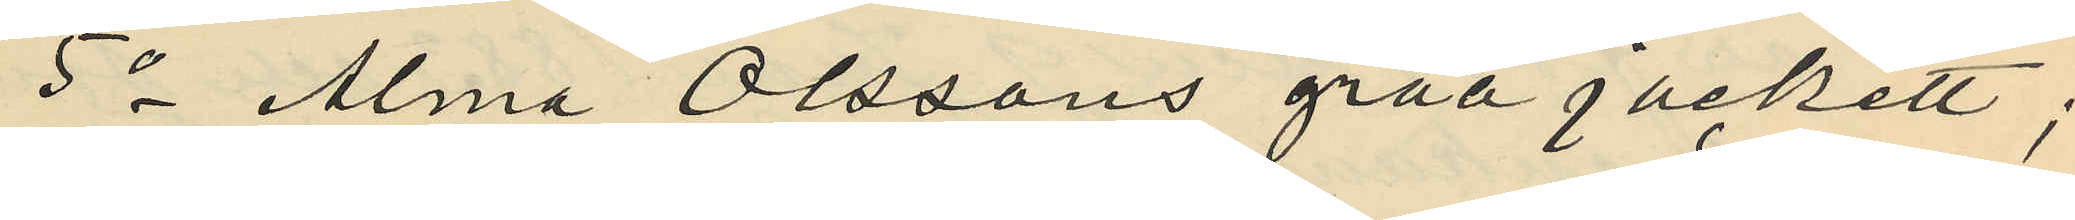5o Alma Olssons gråa jackett;
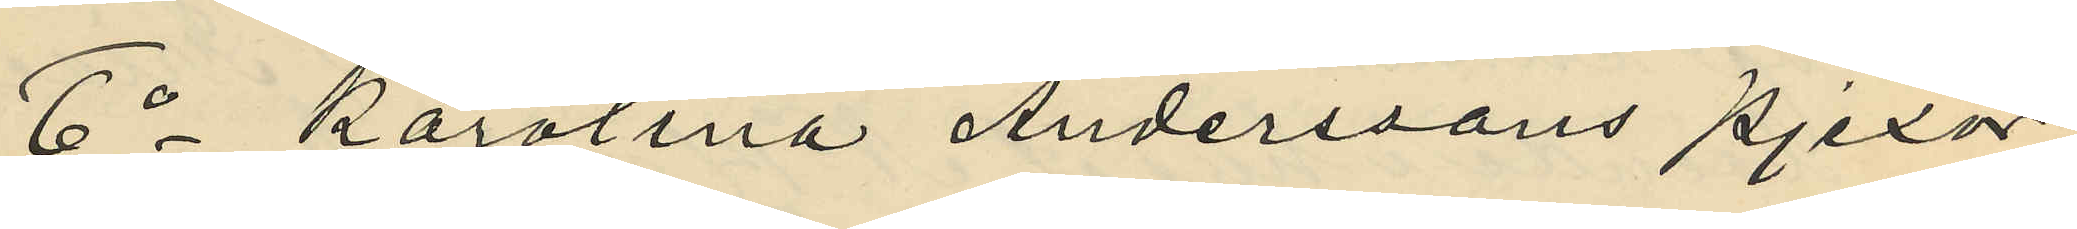6o Karolina Anderssons pjexor;
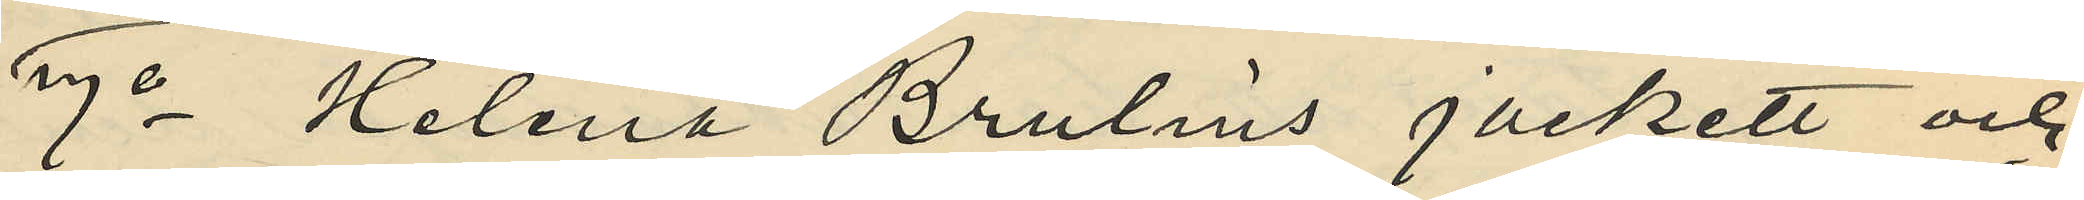7o Helena Brulins jackett och
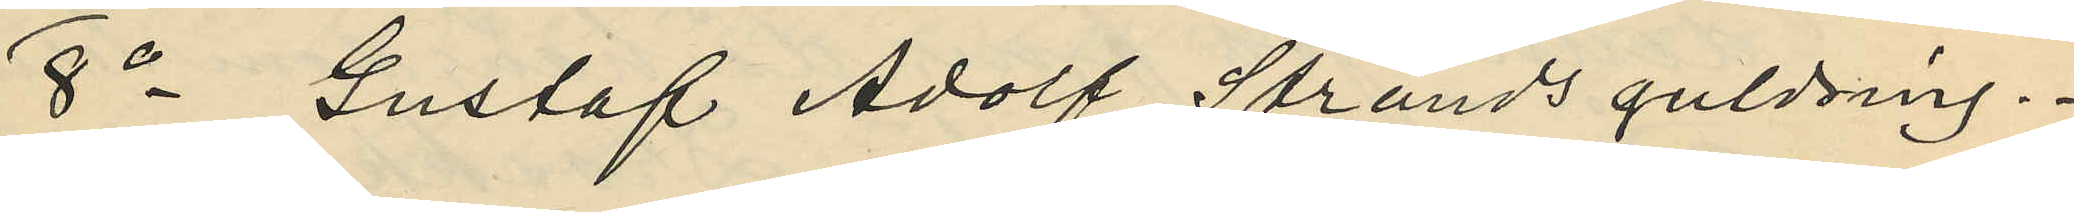8o Gustaf Adolf Strands guldring.
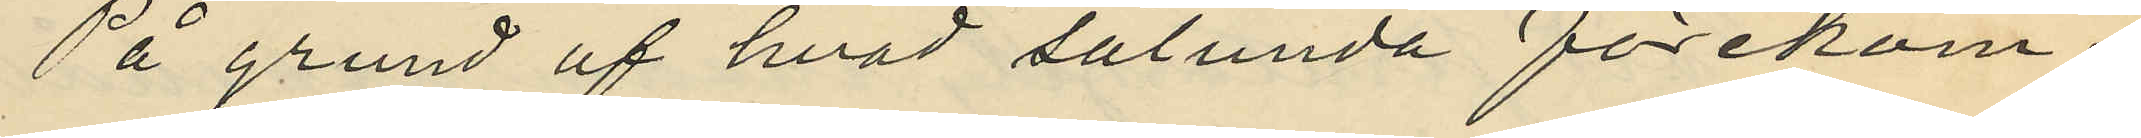På grund af hvad sålunda förekom¬
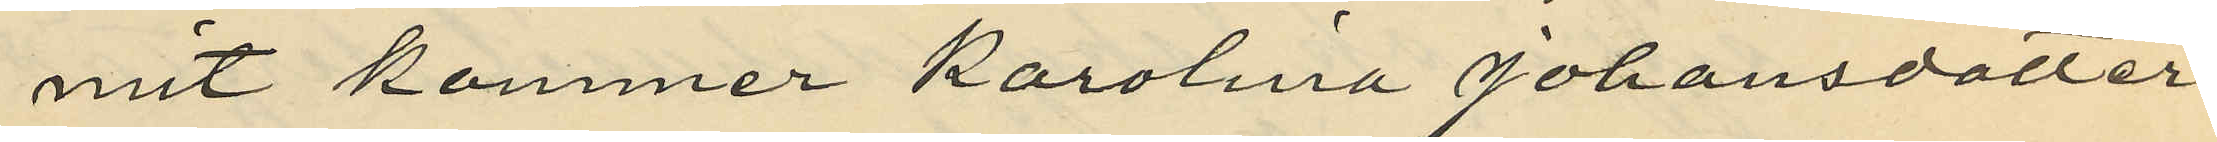mit kommer Karolina Johansdotter
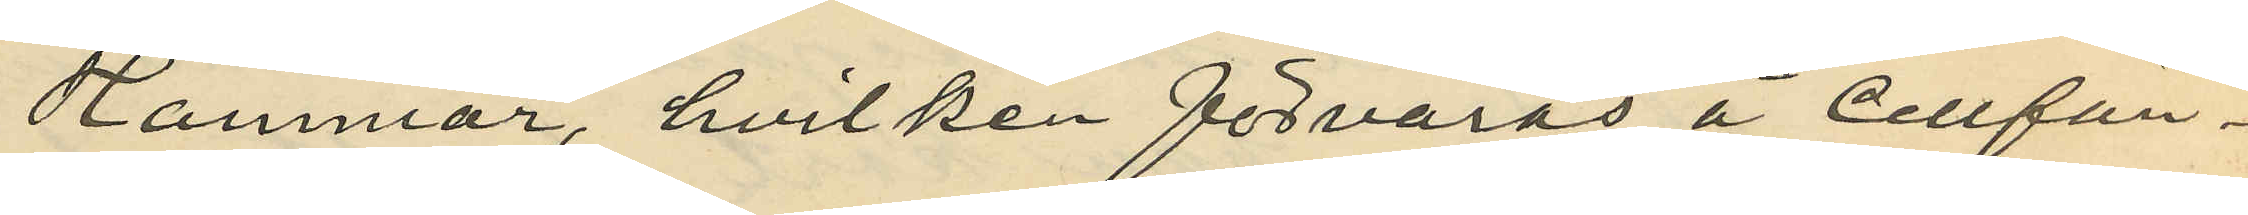Hammar, hvilken förvaras å Cellfän¬
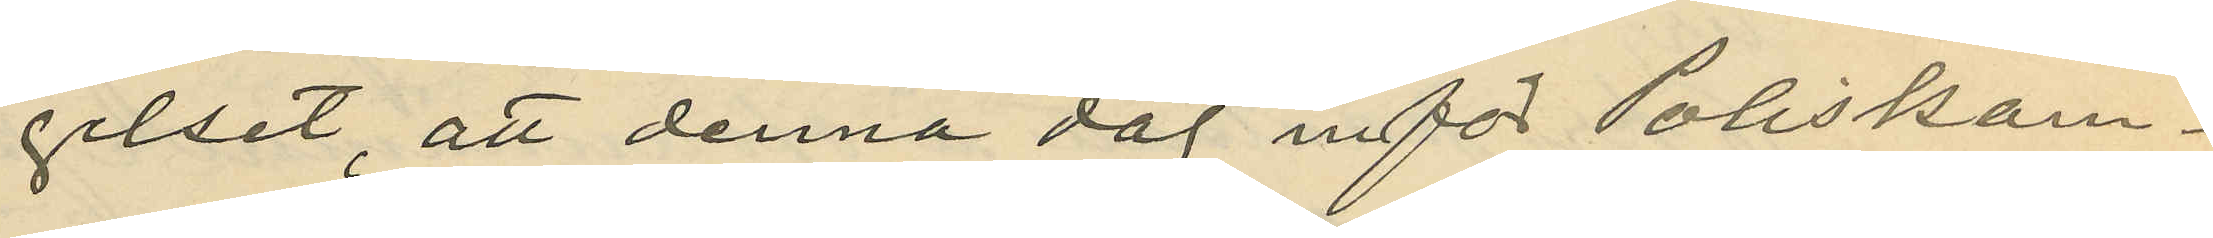gelset, att denna dag inför Poliskam¬
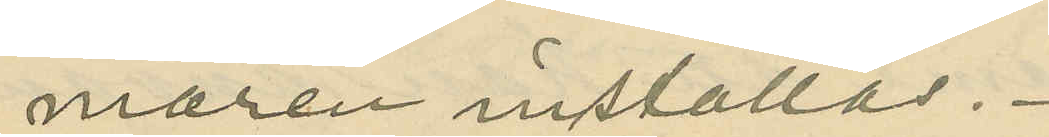maren inställas.
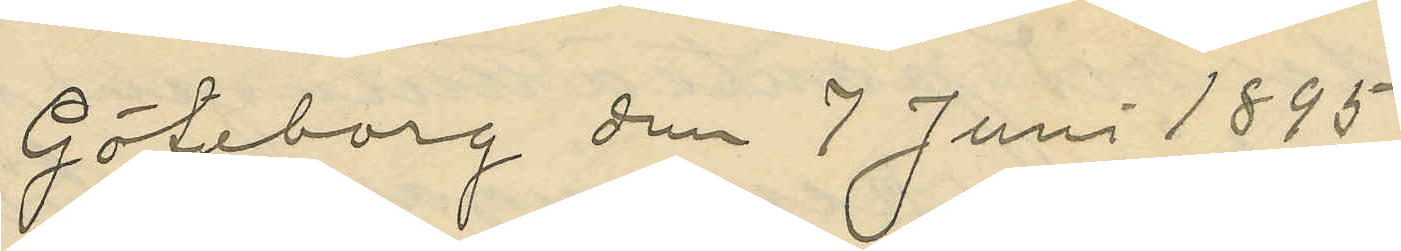Göteborg den 7 Juni 1895.
